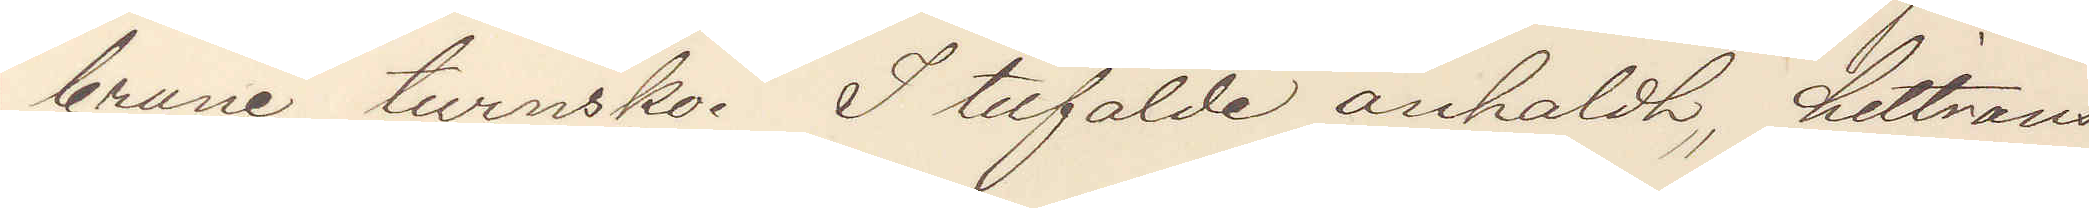brune turnsko. I tilfälde anholdt, hittrans¬
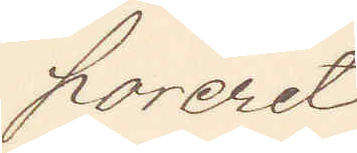poreret
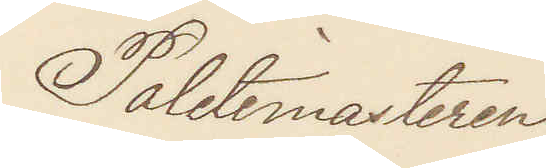Politimasteren.
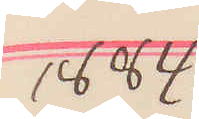1884
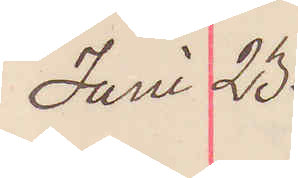Juni 23.
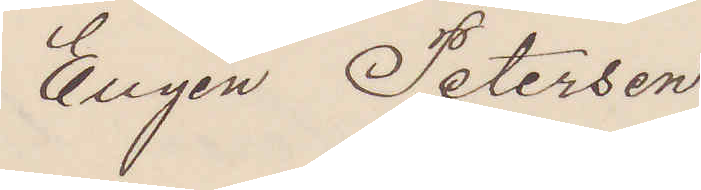Eugen Petersen
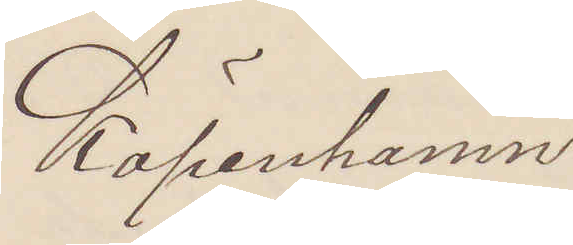Köpenhamn
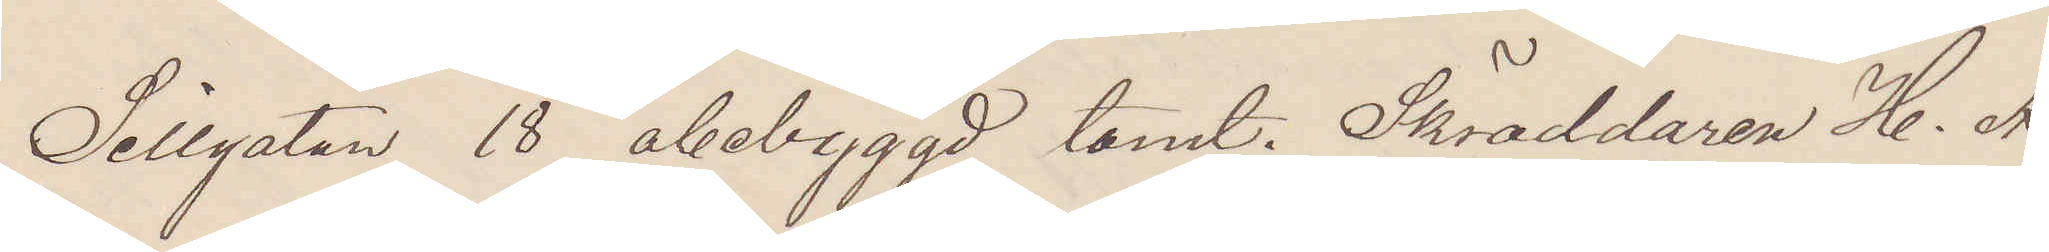Sillgtan 18 obebyggd tomt. Skräddaren H. A.
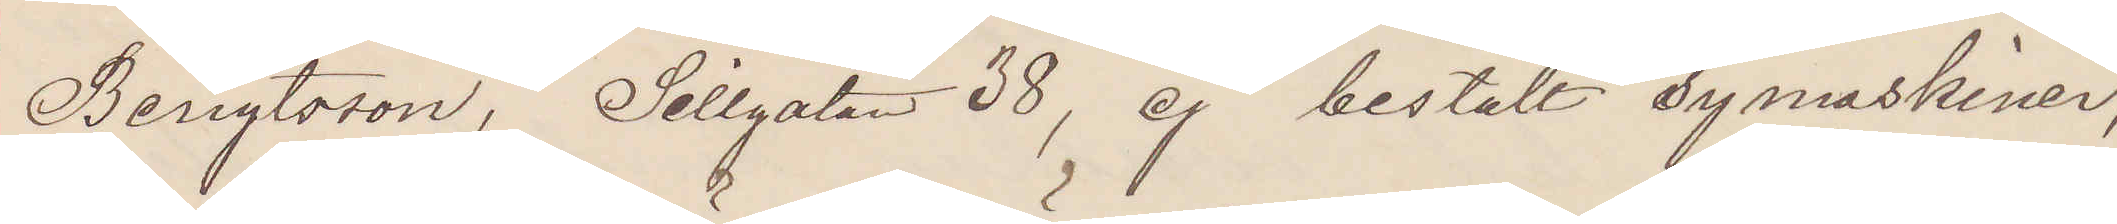Bengtsson, Sillgatan 38, ej bestält symaskiner,
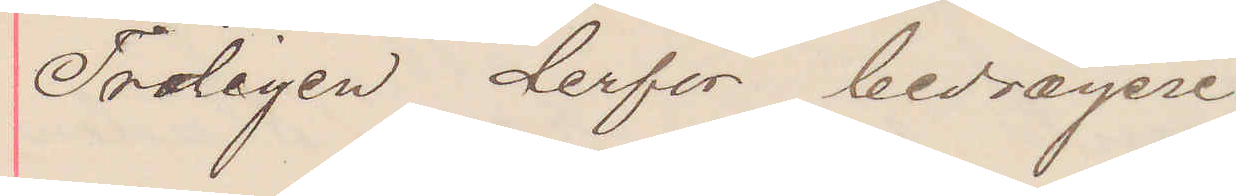Troligen derför bedrägeri
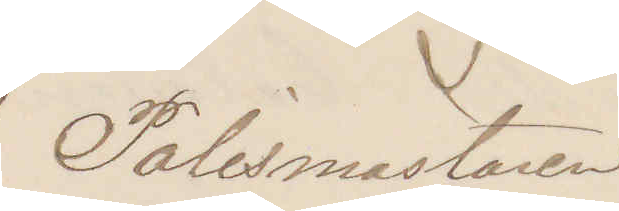Polismästaren.
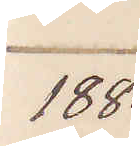1884
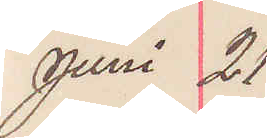Juni 21
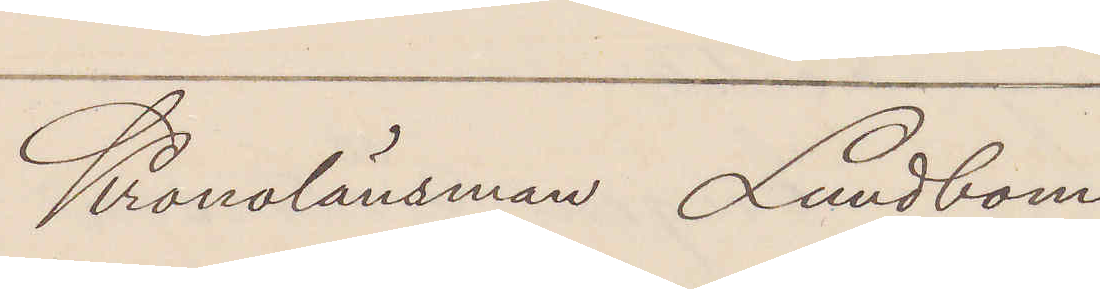Kronolänsman Lundbom
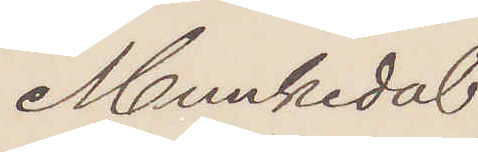Munkedal.
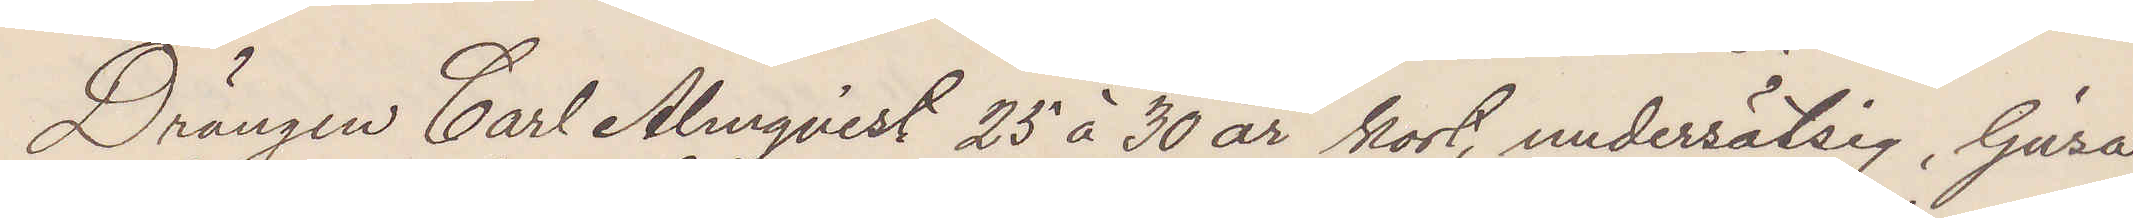Drängen Carl Almqvist 25 à 30 år kort, underssätsig, ljusa
